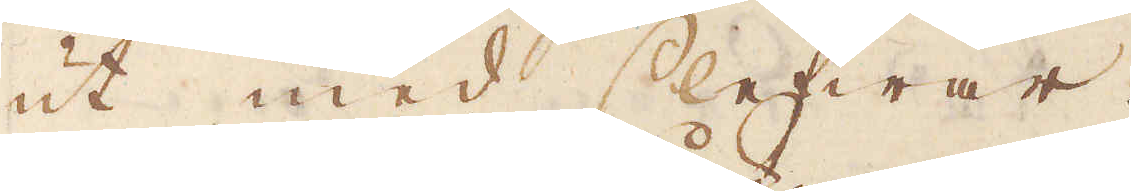ut med slefwar.
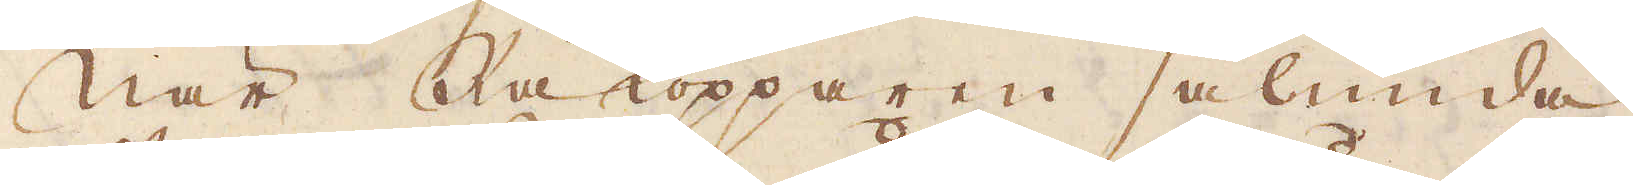När Råkopparen sålunda
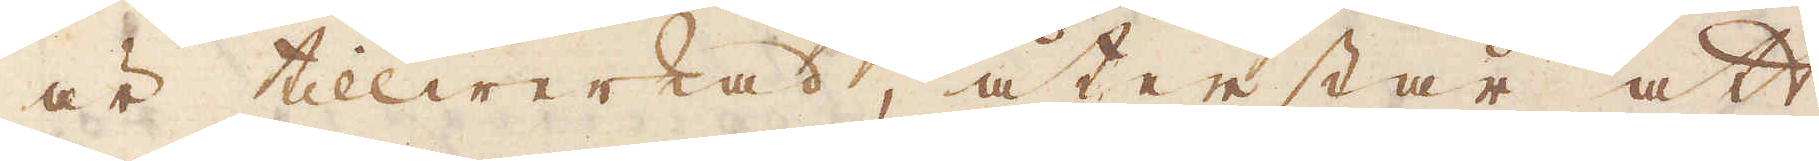är tillwerkad, återstår att
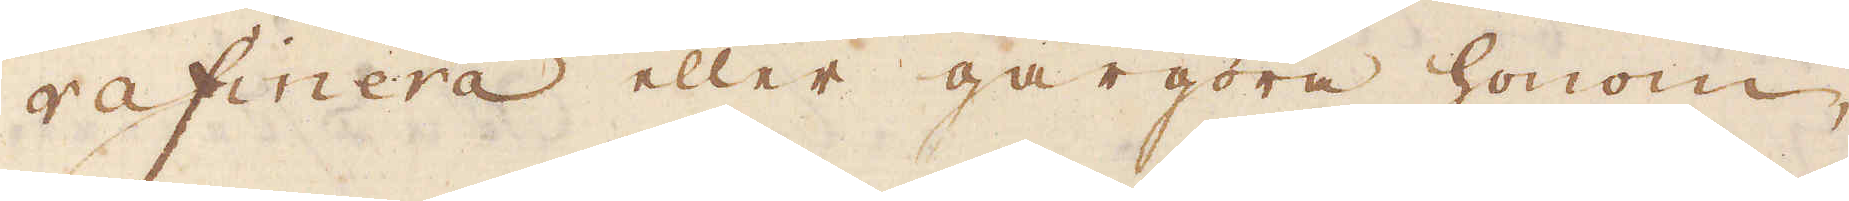rafinera eller gårgöra honom,
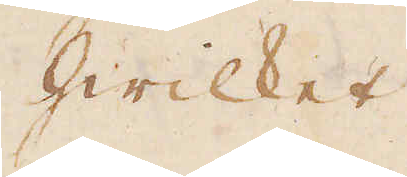hwilket
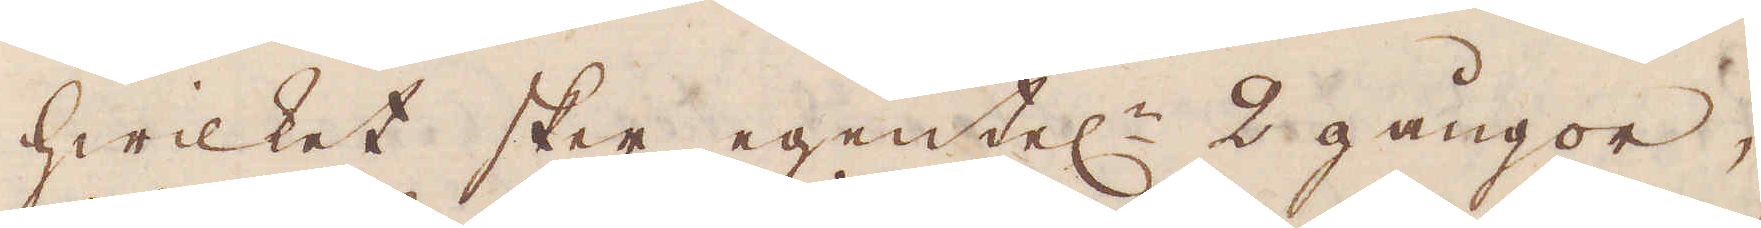hwilcket sker egentel:n 2 gångor,
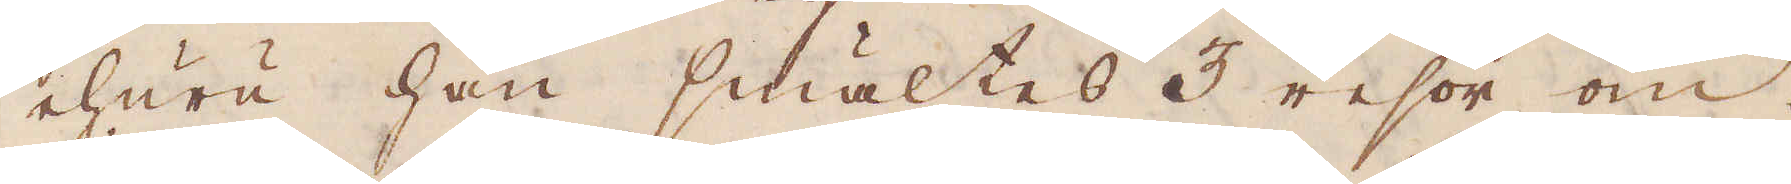ehuru han smältes 3 resor om.
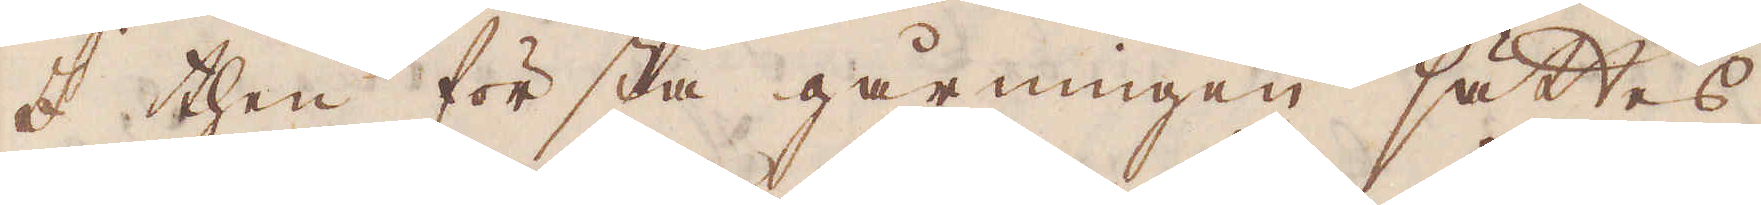I then första gårningen sättes
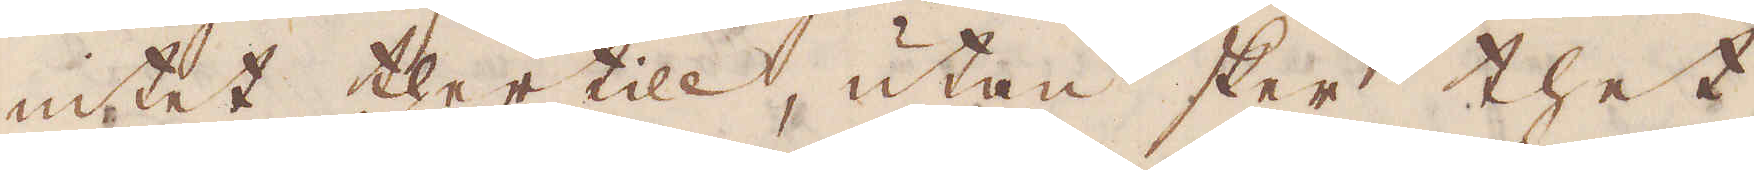intet ther till, utan sker thet
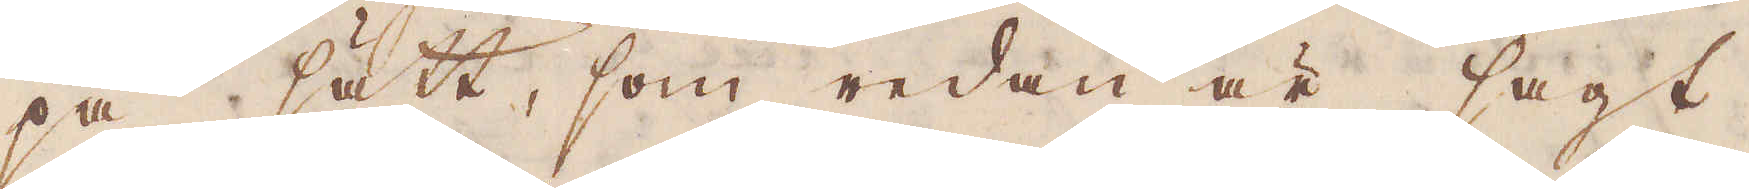på sätt, som redan är sagt
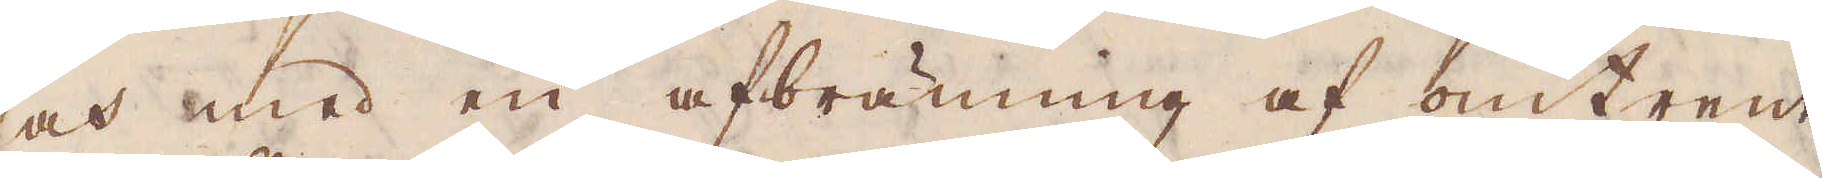at med en afbränning af omtrent
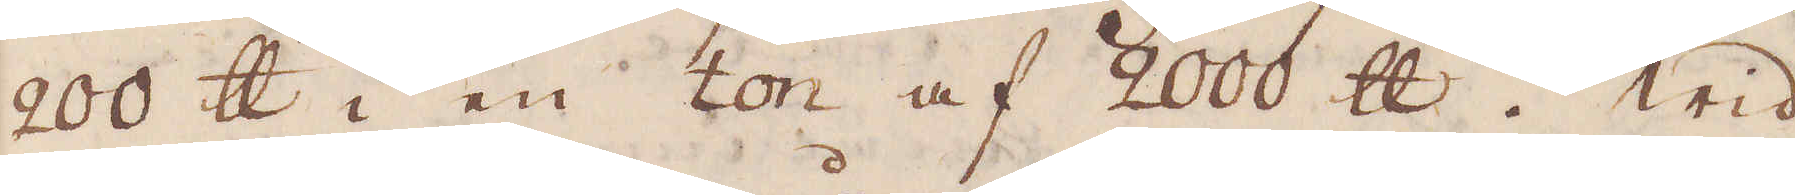200 skålpund i en ton af 2000 skålpund. Wid
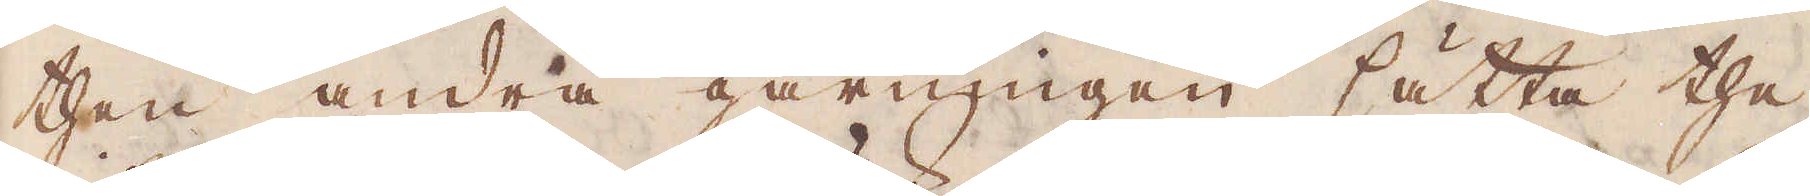then andra gårningen sätta the
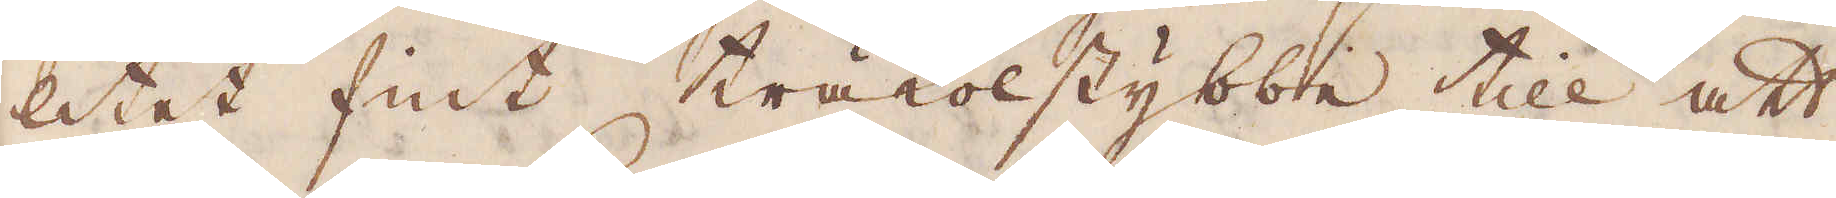litet fint träkolstybbe till att
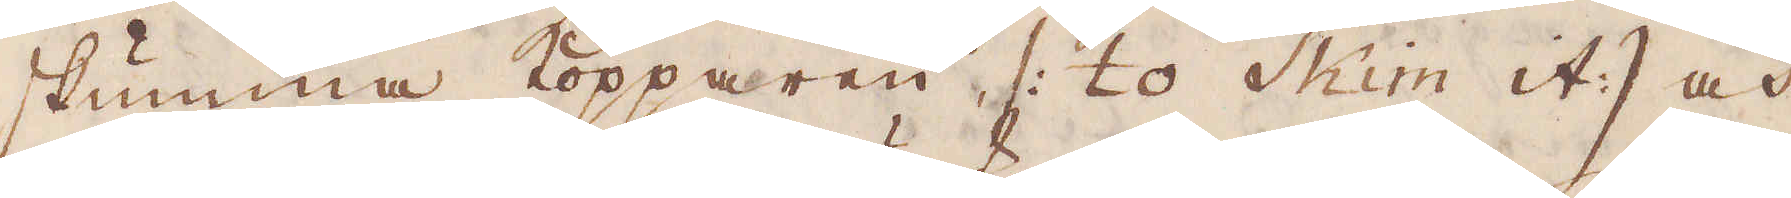skumma kopparen (: to Skim it:) och
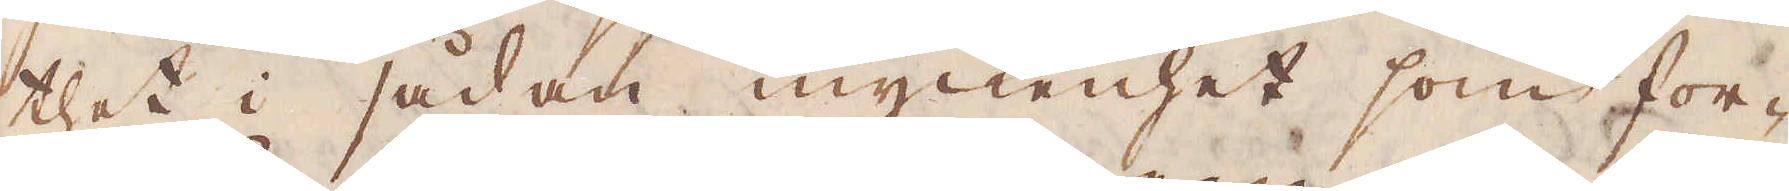thet i sådan myckenhet som for-
